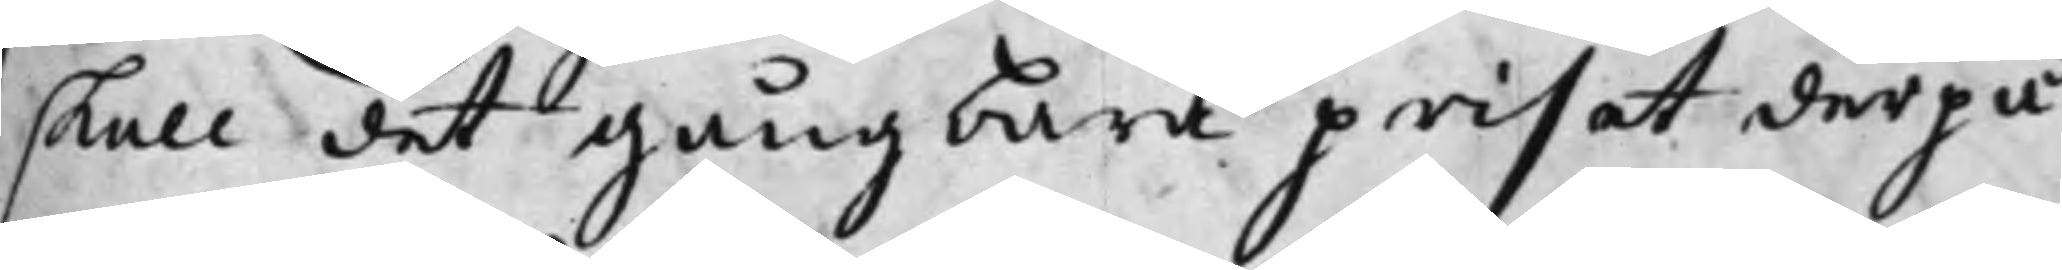skall det gångbara priset derpå
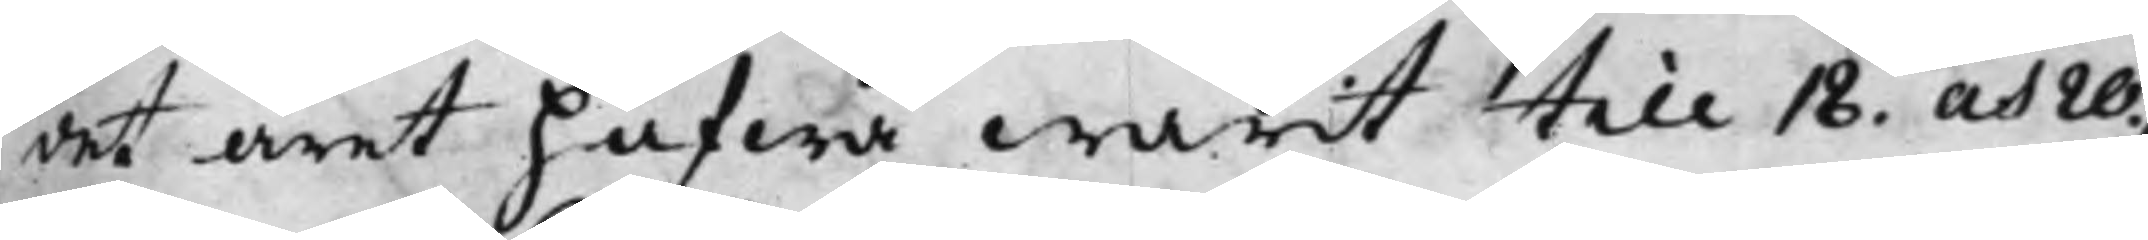det året hafwa warit till 18. och 20 ./.
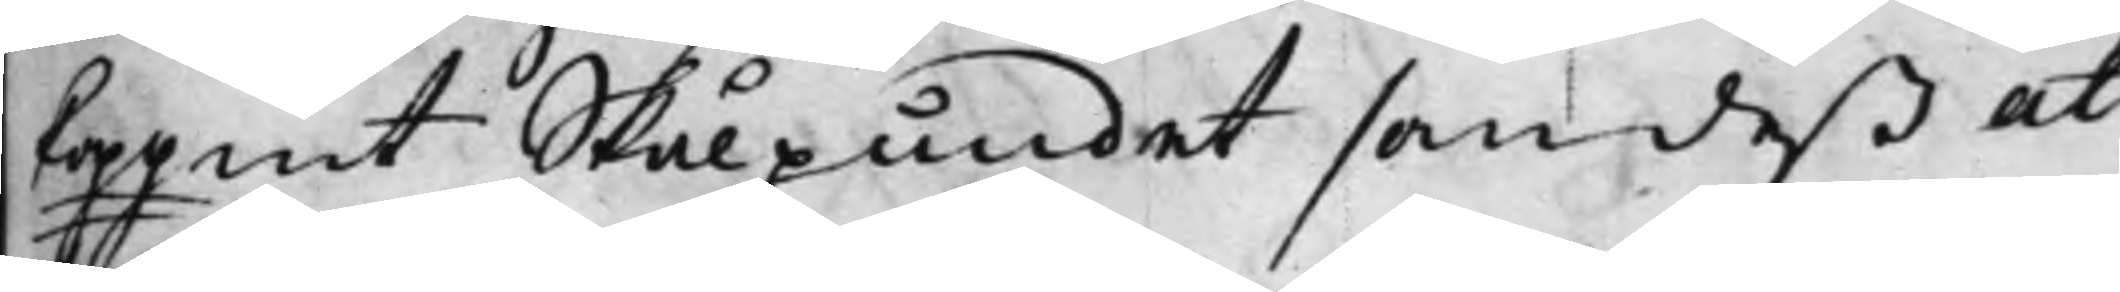Koppmt Skålpundet som deß at¬
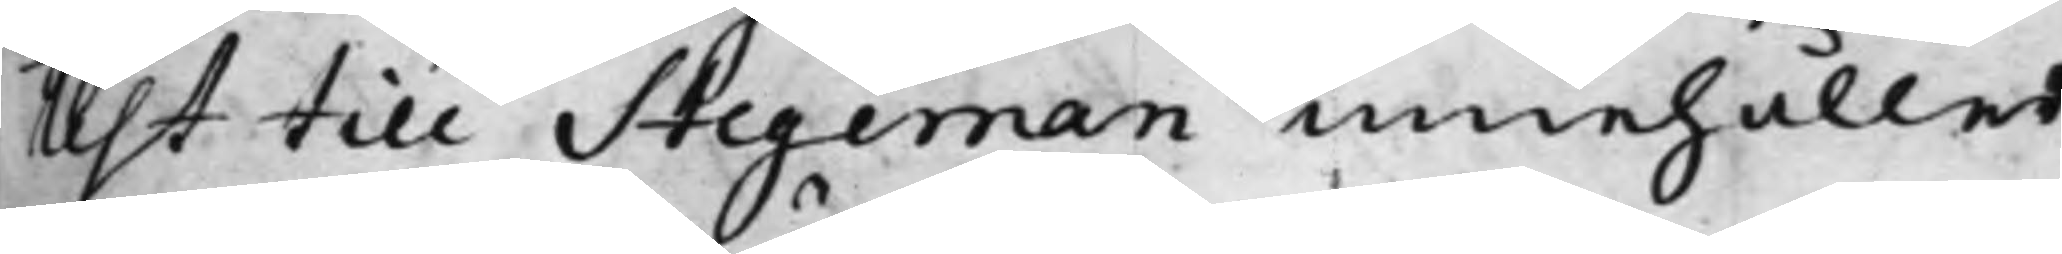test till Stegeman innehåller.
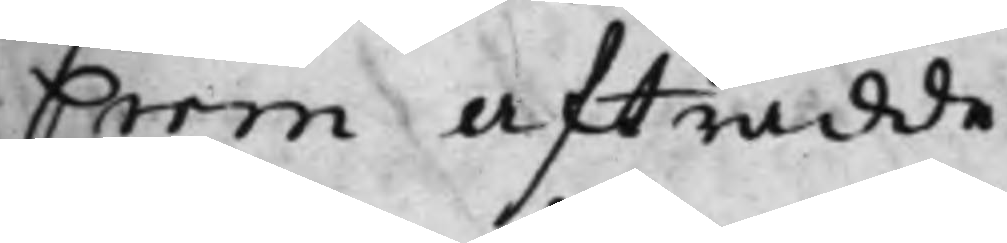Crom afträdde.
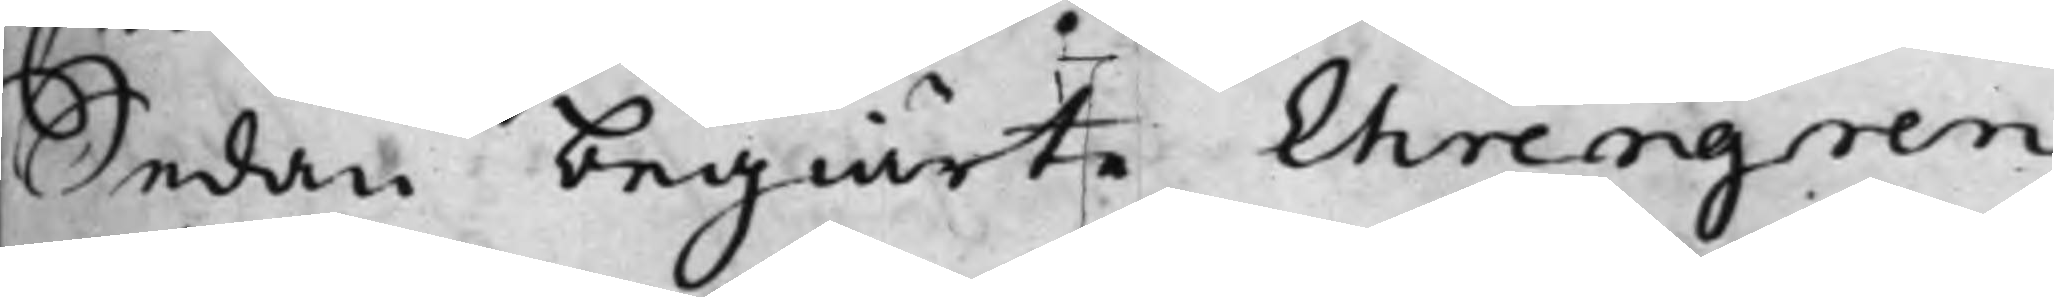Sedan begiärte Ehrengren
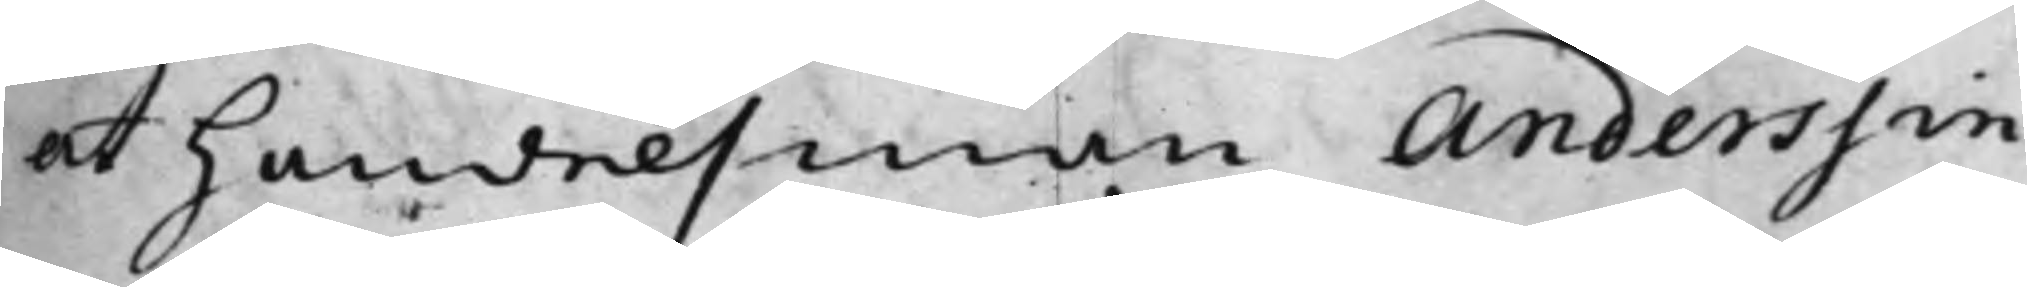at Handelsman Anderssin
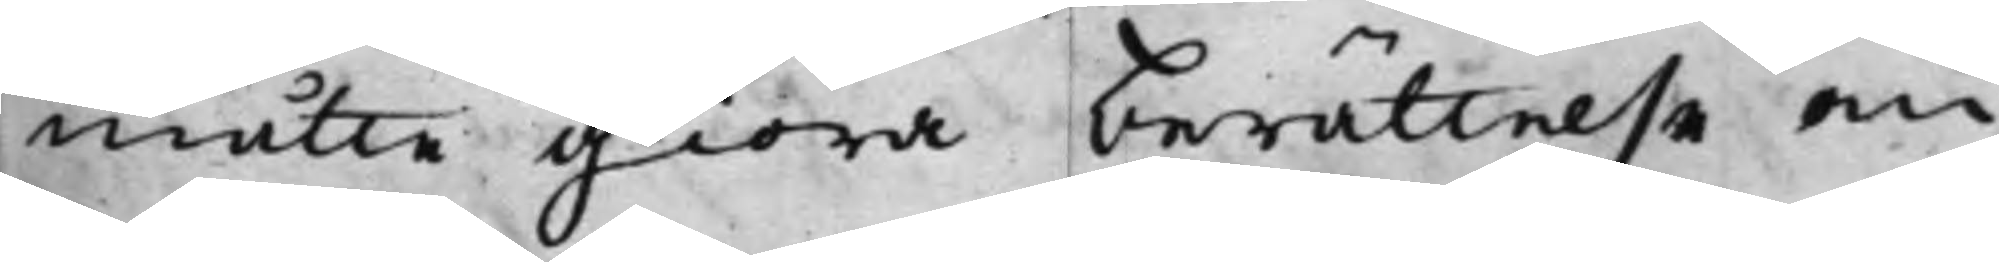måtte giöra berättelse om
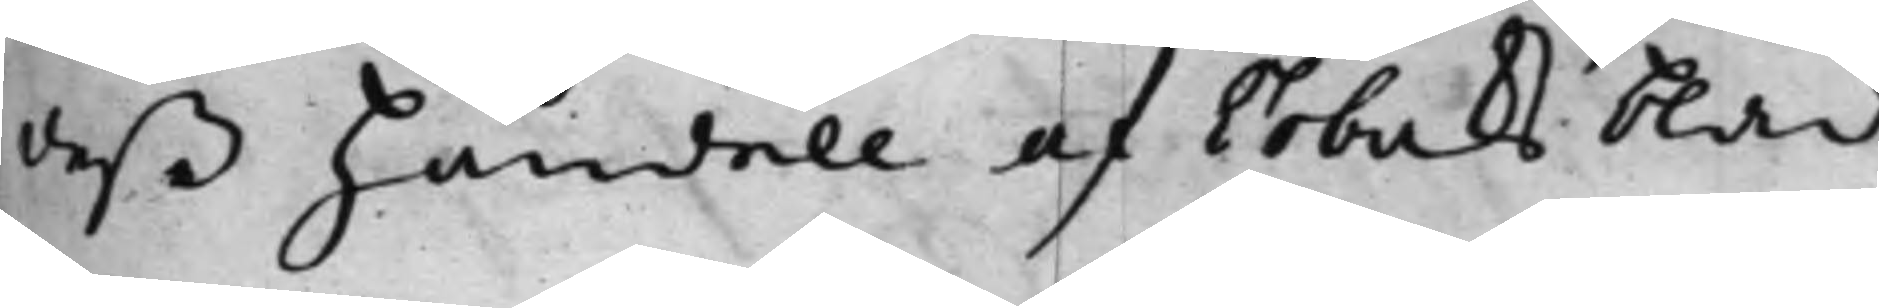deß handell af Tobaksblad
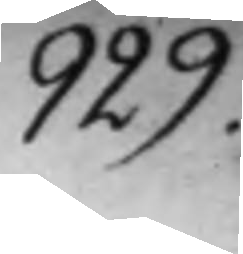929.
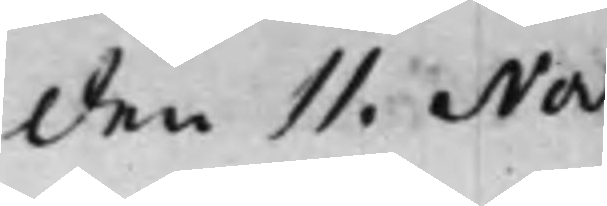den 11. Nov:
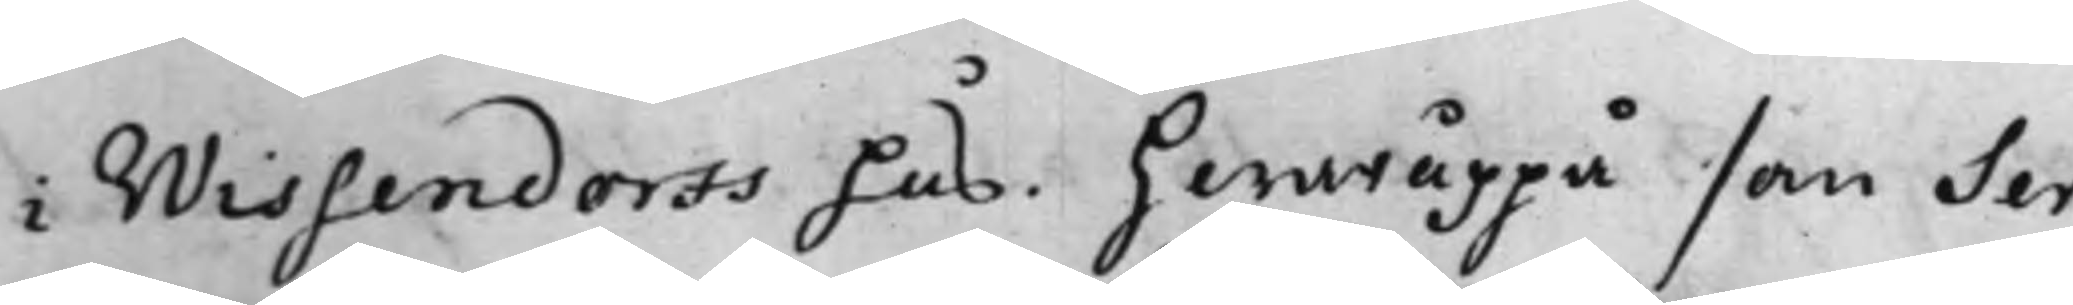i Wissendorfs hus. hwaruppå som Ser¬
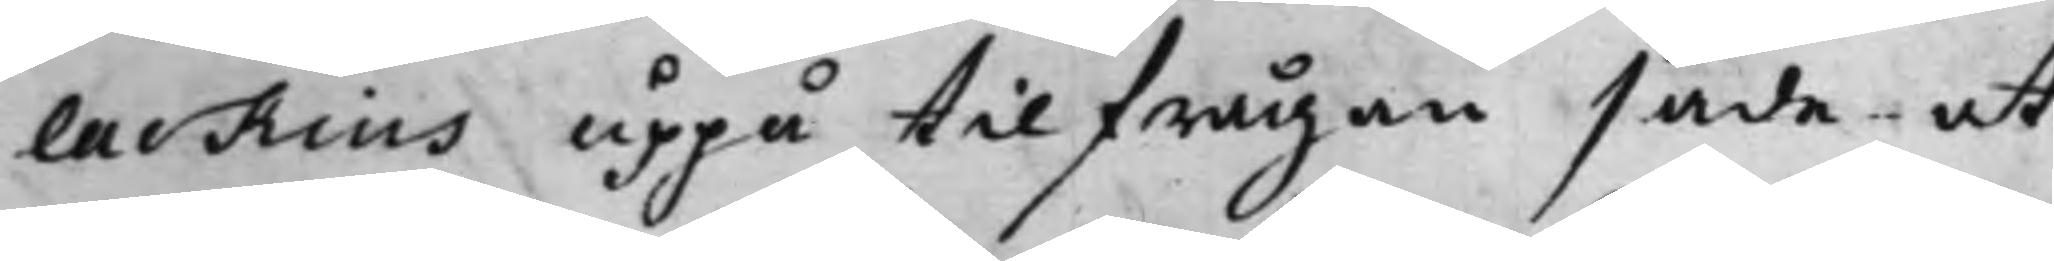lackius uppå tilfrågan sade at
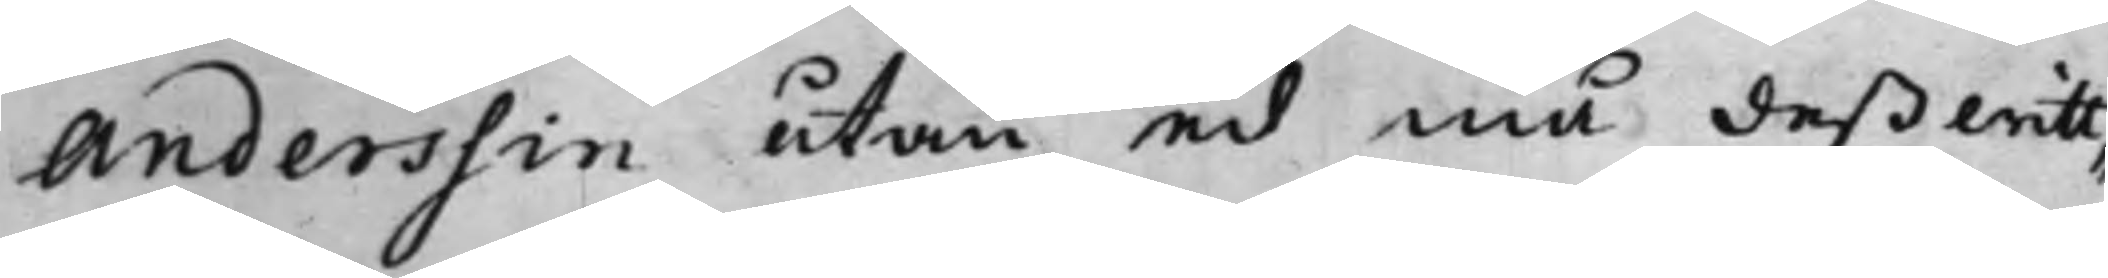Anderssin utan ed må deß witt¬
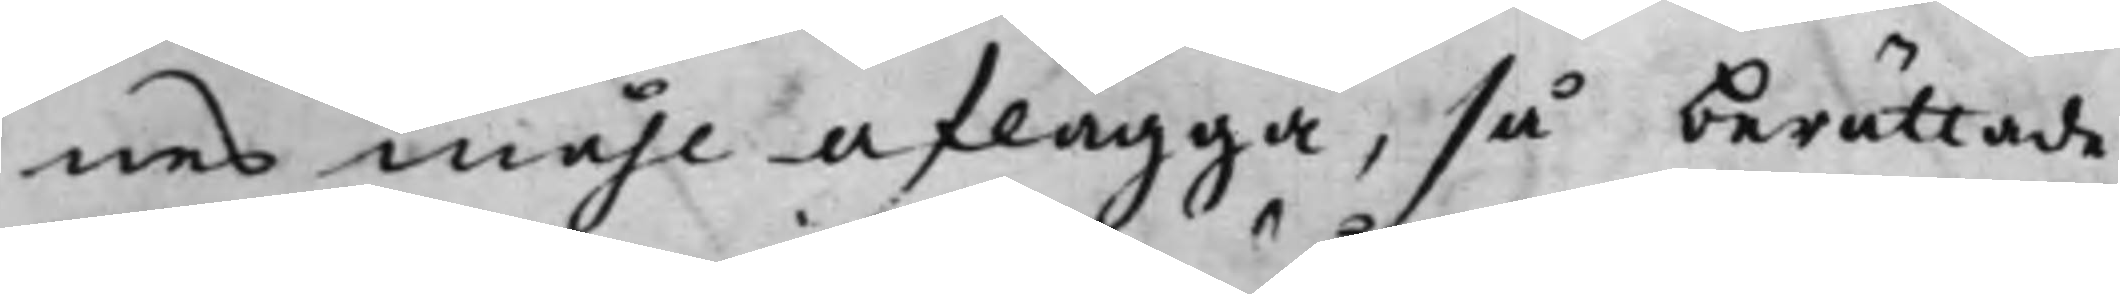nesmåhl aflägga, så berättade
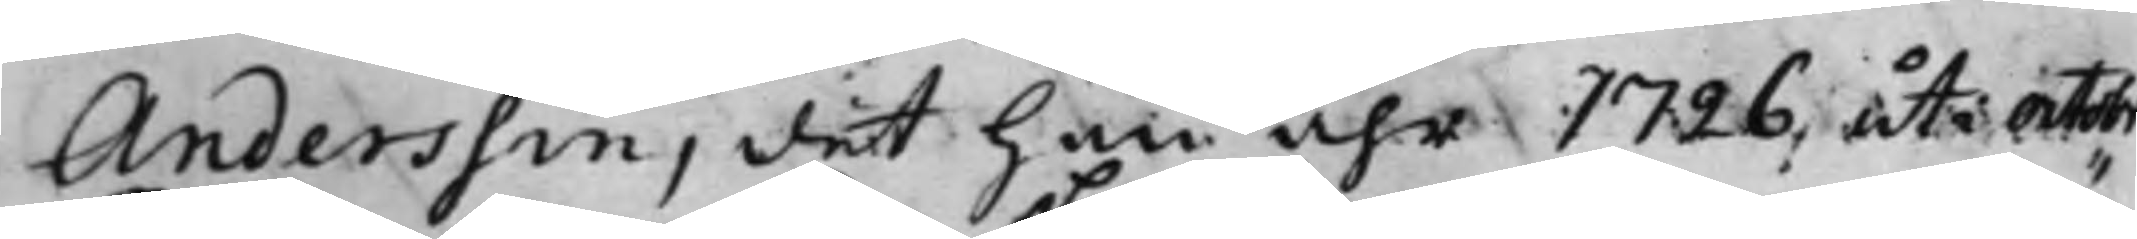Anderssin, det Han åhr 1726, uti Octobr.
